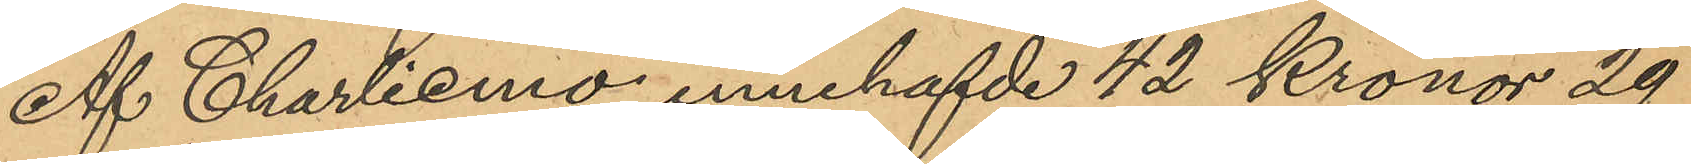Af Charlierno innehafvde 42 Kronor 29
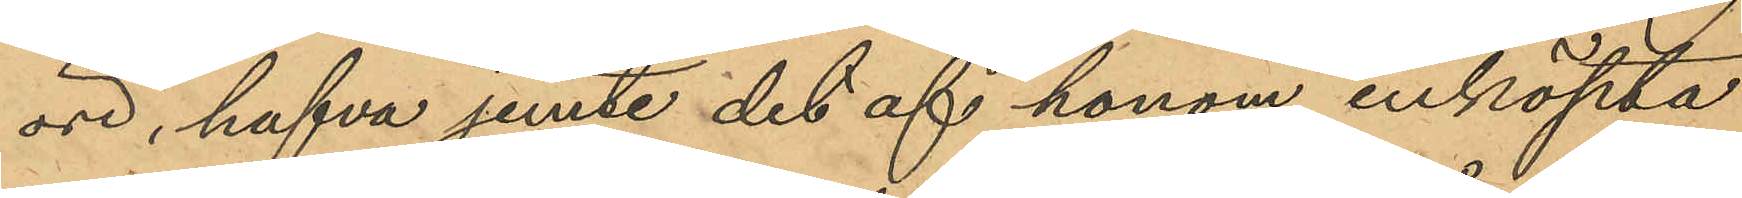öre, hafva jemte det af honom inköpta
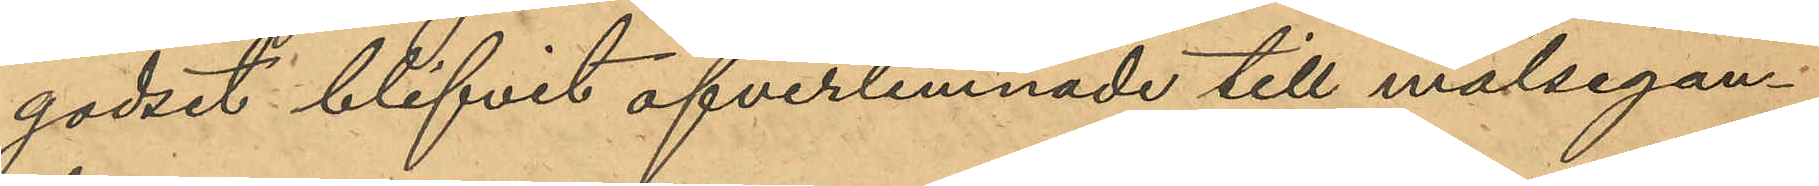godset blifvit öfverlemnade till målsegan¬
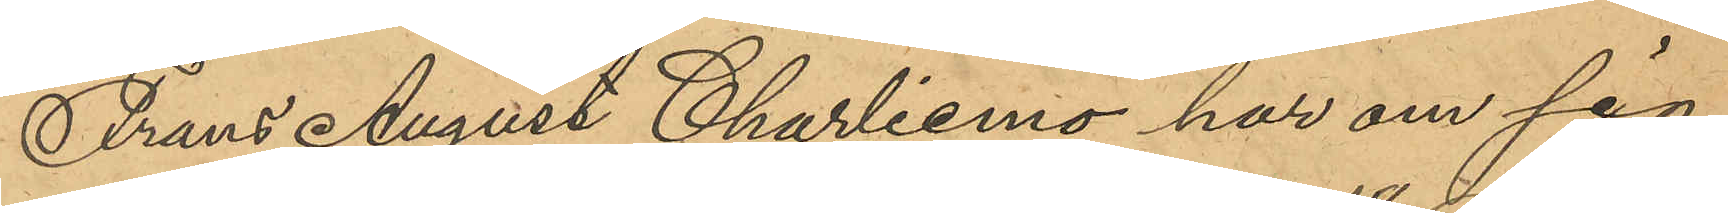Frans August Charliemo har om sig
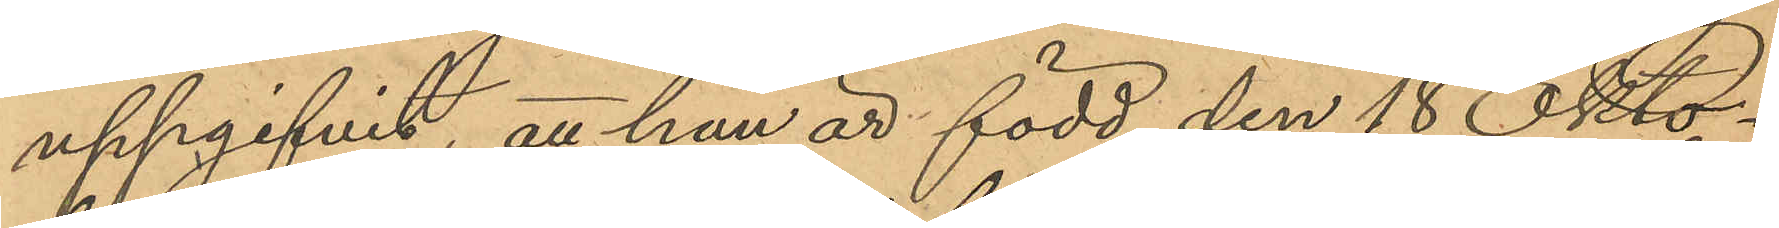uppgifvit, att han är född den 18 Okto¬
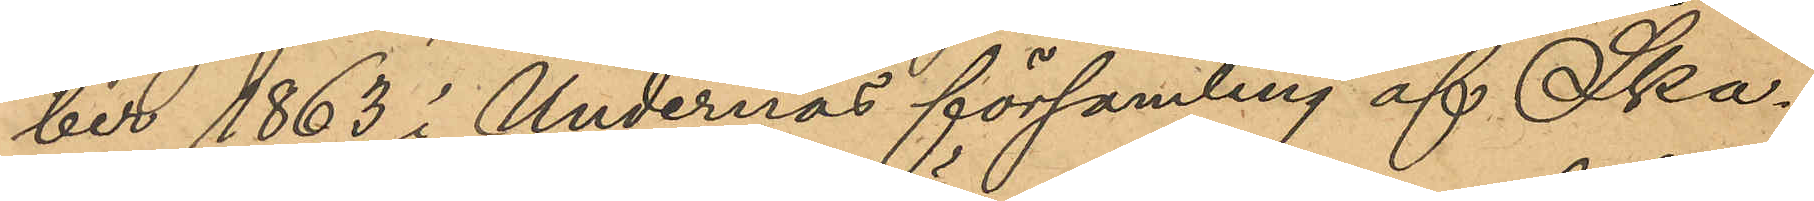ber 1863 i Undernäs församling af Ska¬
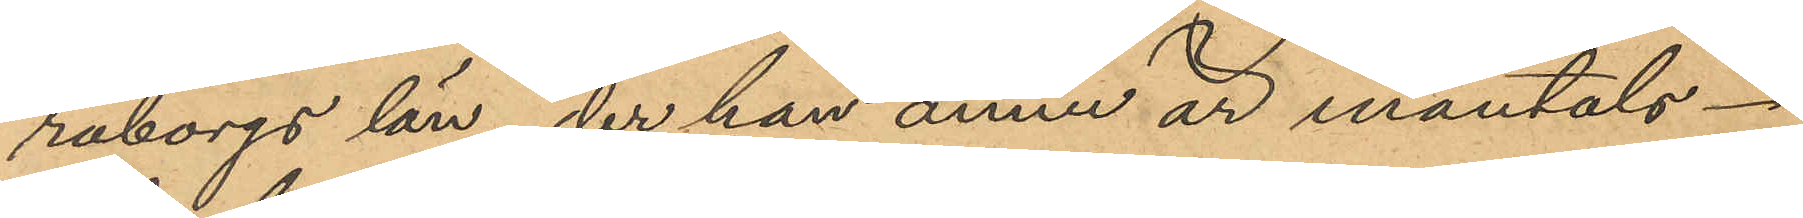raborgs län, der han ännu är mantals¬
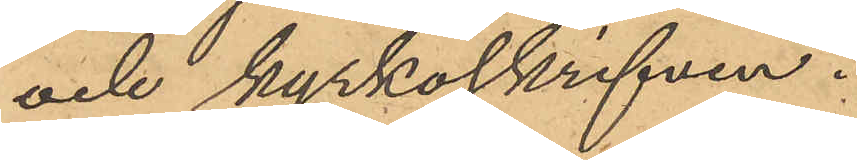och kyrkoskrifven.
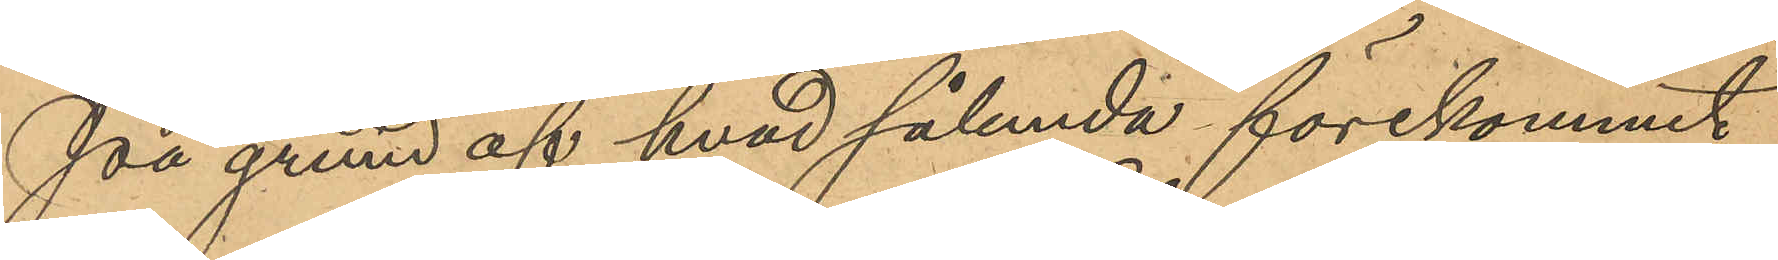På grund af hvad sålunda förekommit,
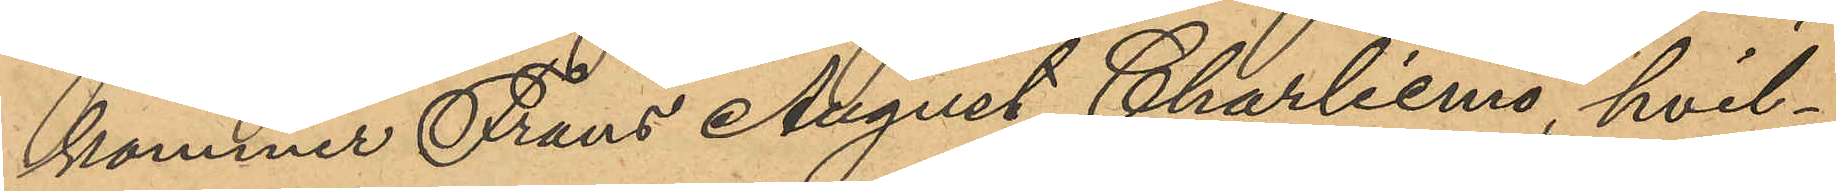kommer Frans August Charliemo, hvil¬
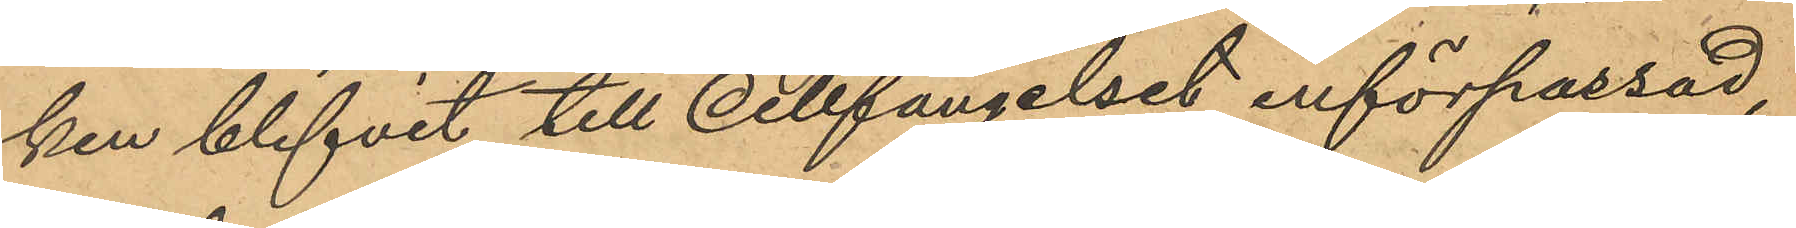ken blifvit till Cellfängelset införpassad,
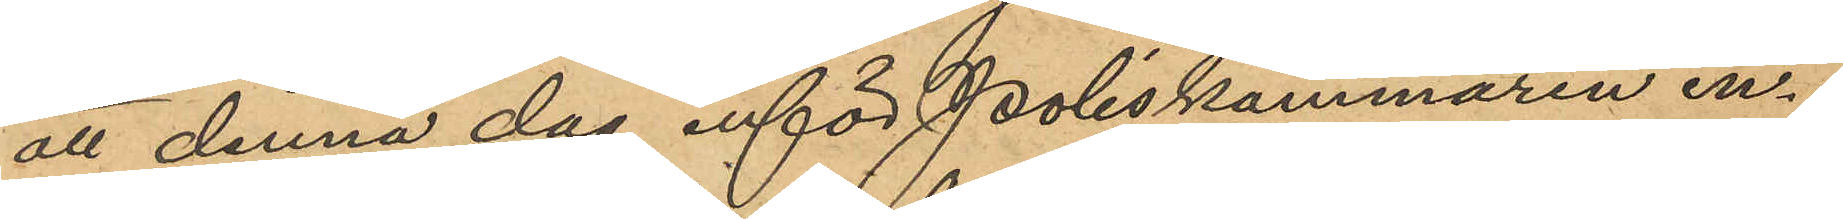att denna dag inför Poliskammaren in¬
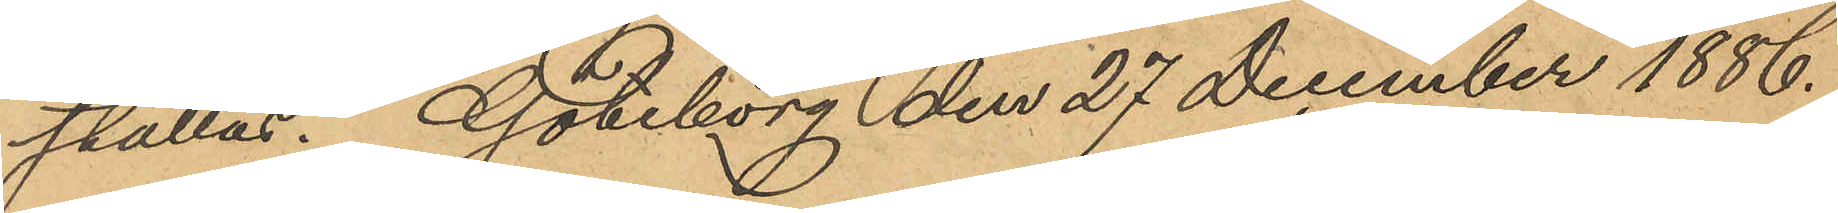ställas. Göteborg den 27 December 1886.
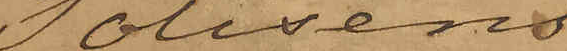Polisens
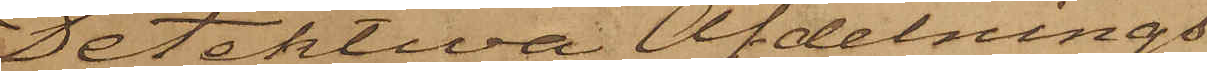Detektiva Afdelnings
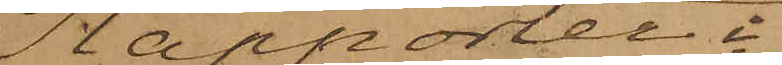Rapporter i
